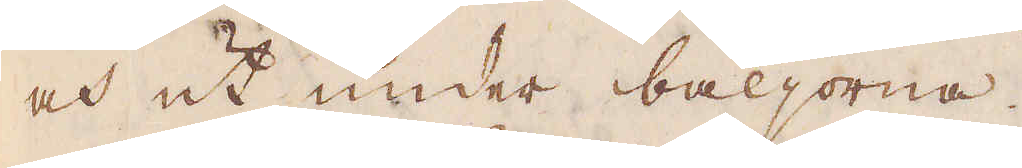och ut under bäljorna.
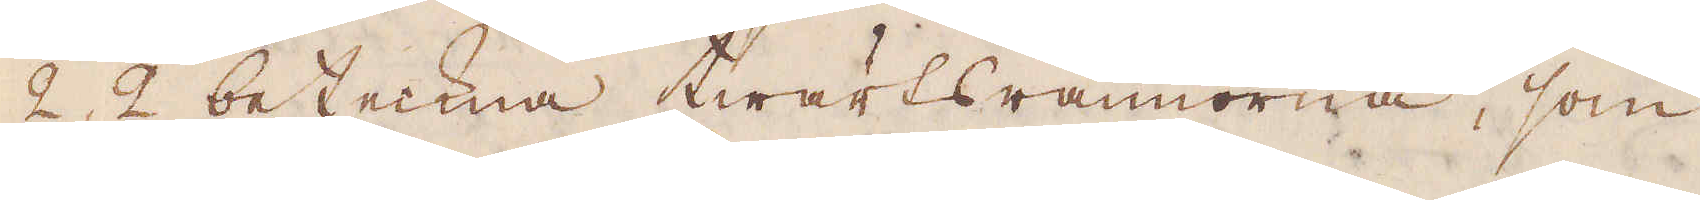2, 2 beteckna twärtsrännorna, som
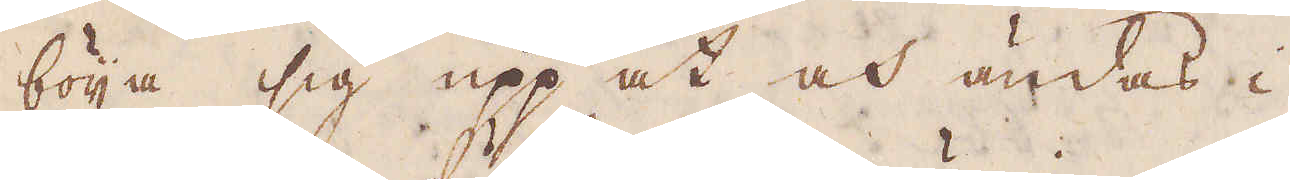böija sig upp åt och ändas i
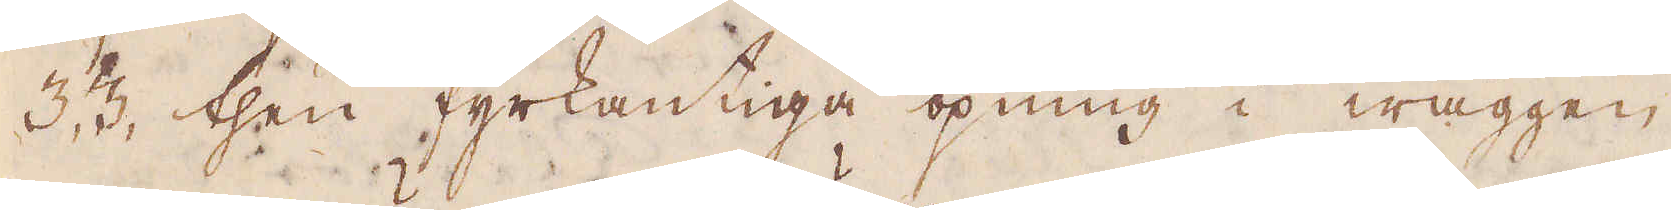3,3 then fyrkantiga öpning i wäggen
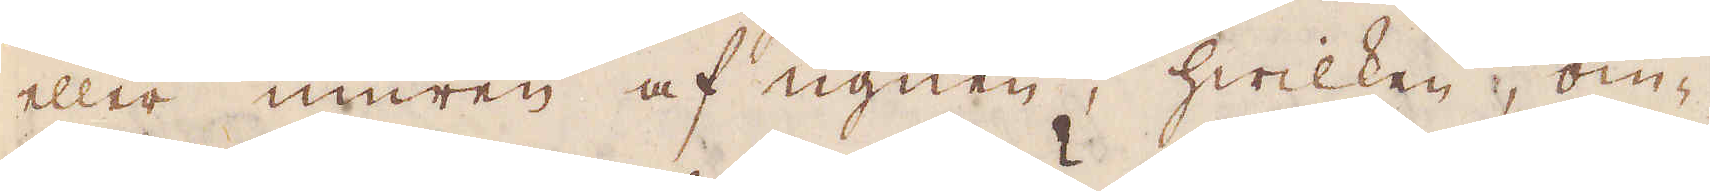eller muren af ugnen, hwilken, om-
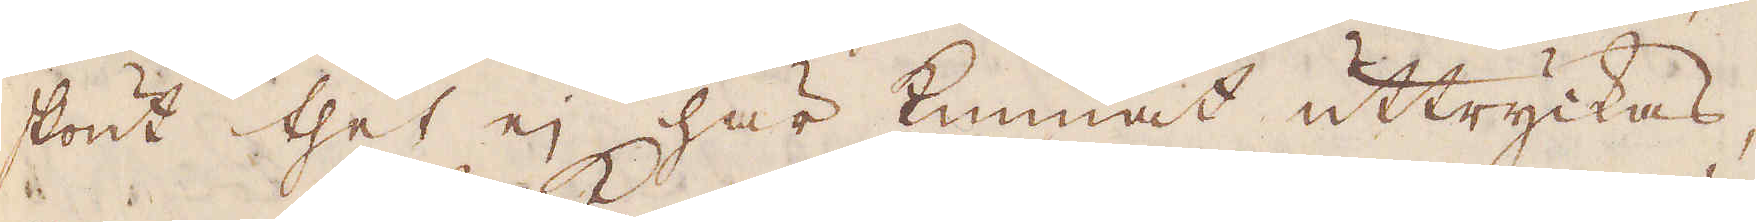skönt thet ej här kunnat uttryckas,
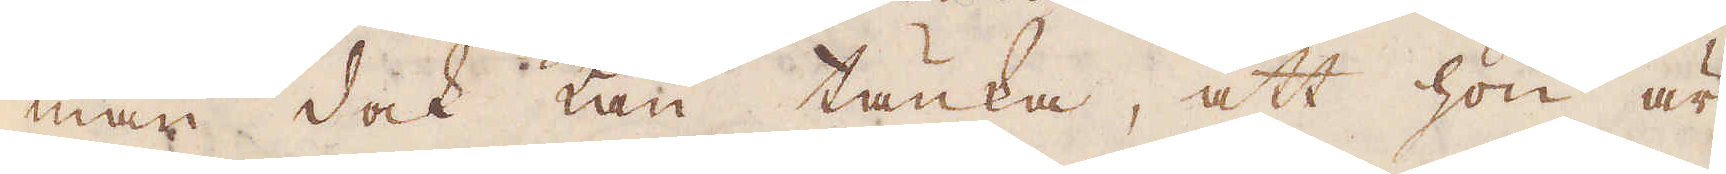man dock kan tänka, att hon är
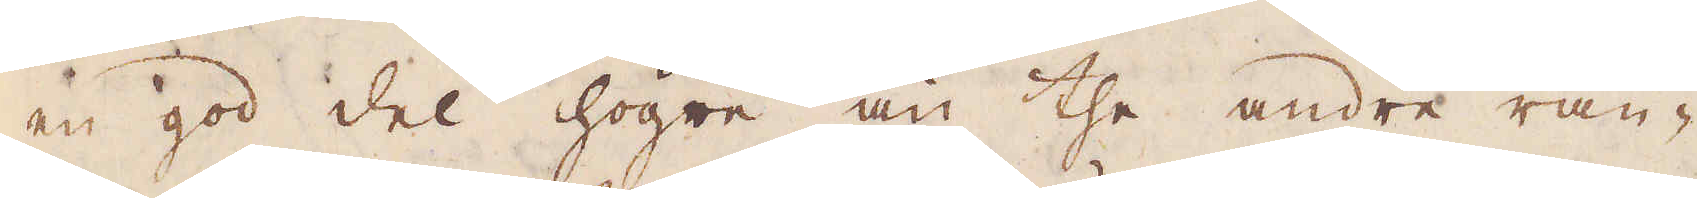en god del högre än the andre rän-
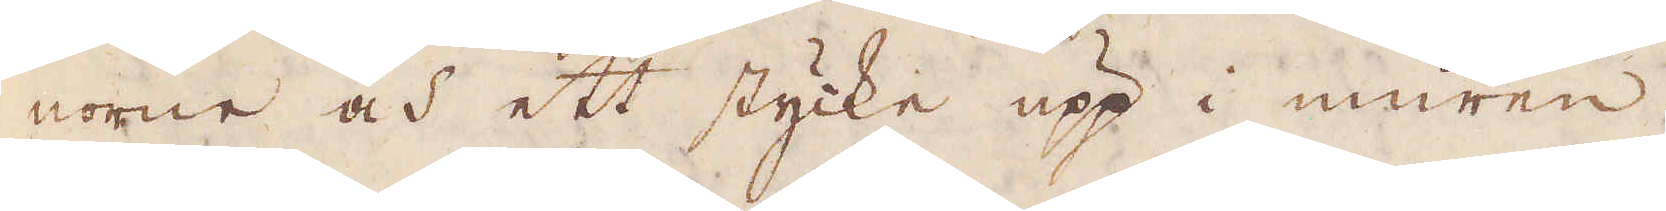norne och ett stycke upp i muren
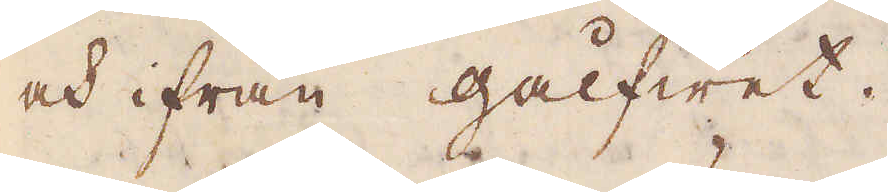och ifrån gålfwet.
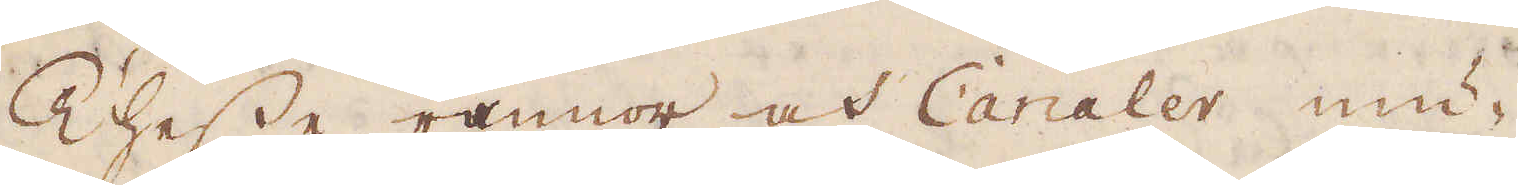Thesse rännor och Canaler mu-
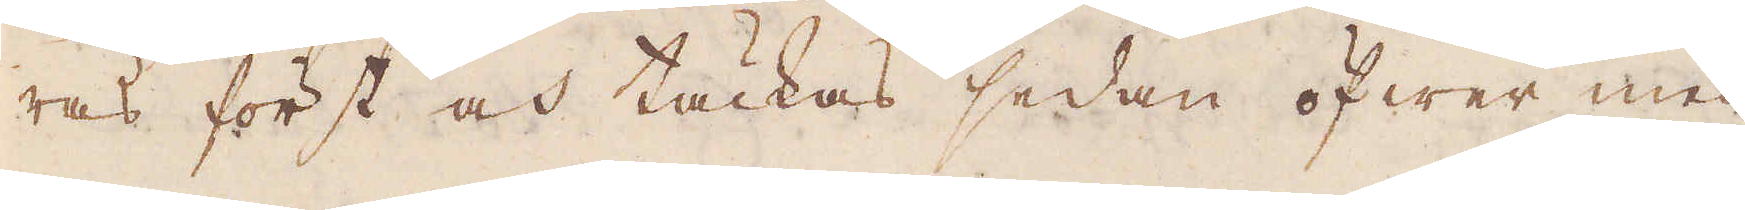ras först och täckas sedan öfwer med
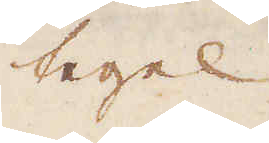tegel
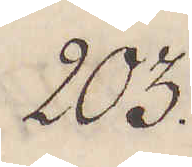203.
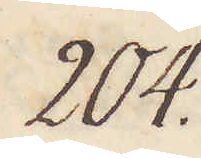204.
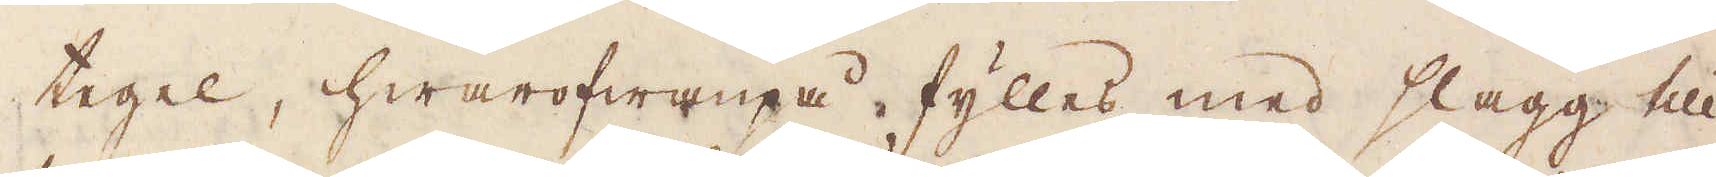tegel, hwarofwanpå fylles med slagg, till
